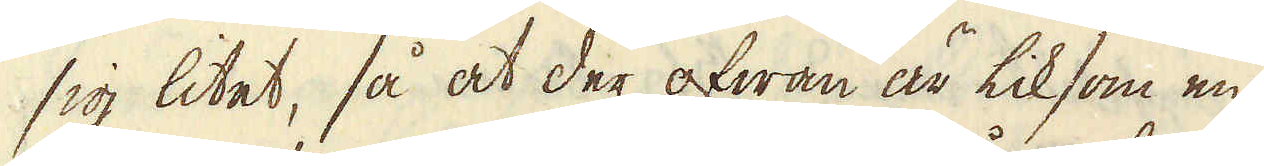sig litet, så at der ofwan är liksom en
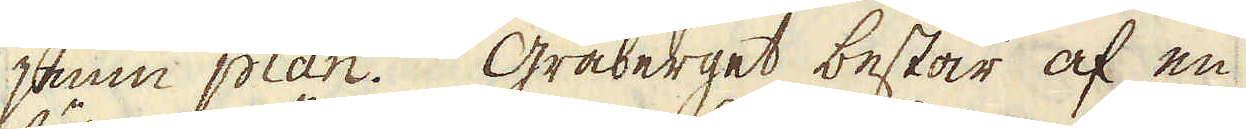jemn plan. Gråberget består af en
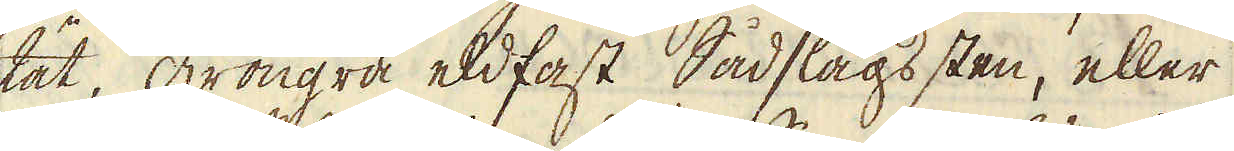tät, gröngrå eldfast Sådslags sten, eller
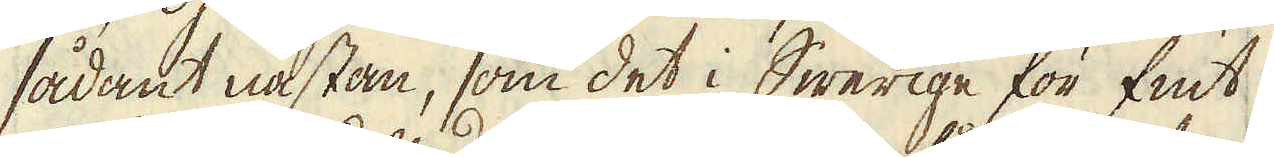sådant nästan, som det i Swerige för fint
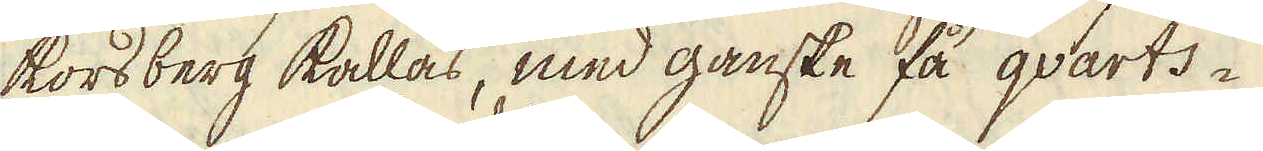korsberg kallas, med ganske få qvarts-
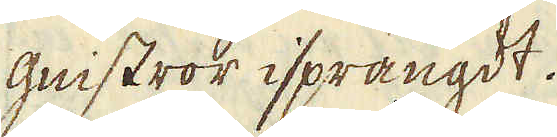gnistror isprängdt.
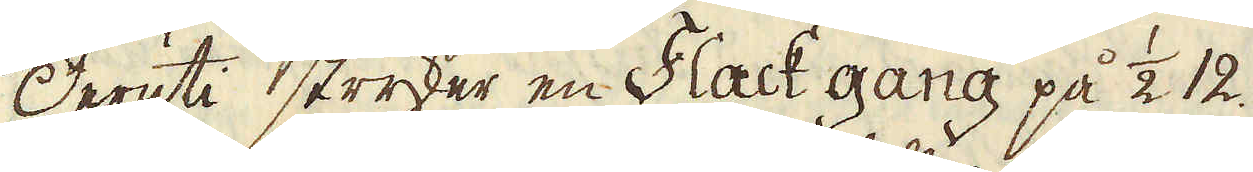Deruti stryker en Flack gång på 1/2. 12.
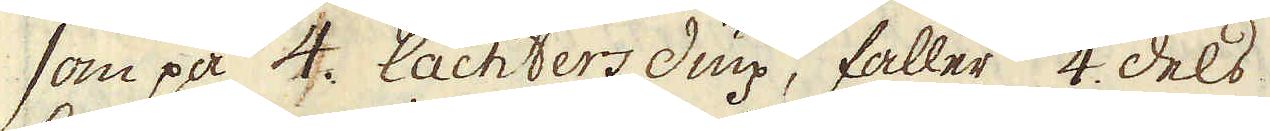som på 4. lachters diup, faller 1/4. dels
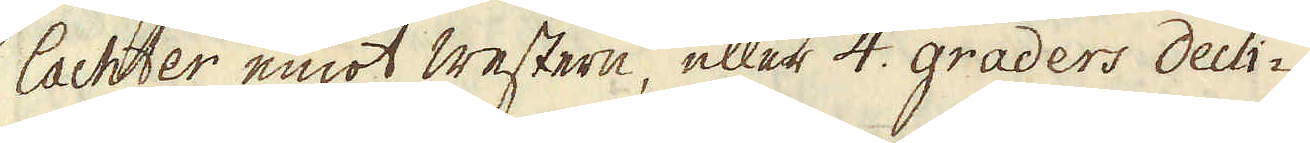lachter emot western, eller 4. graders decli-
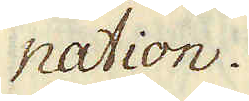nation.
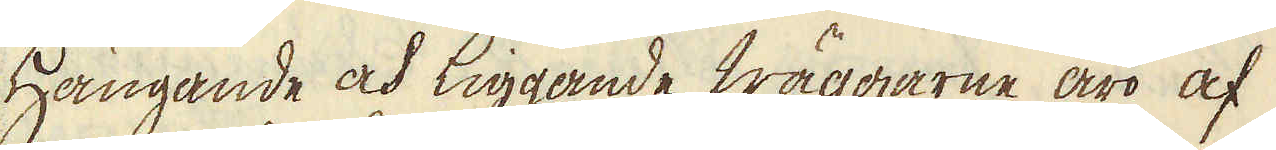Hängande och liggande Wäggarne äro af
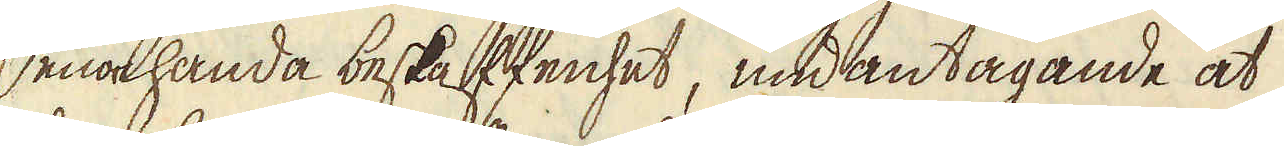enahanda beskaffenhet, undantagande at
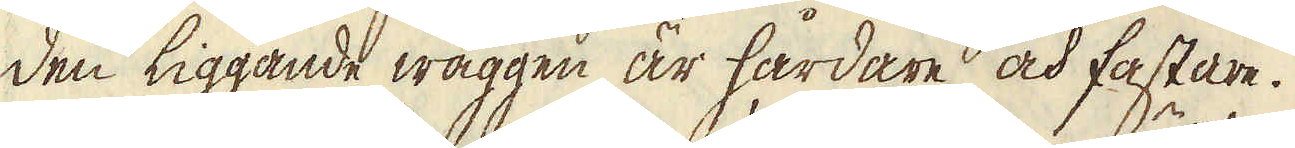den liggande wäggen är hårdare och fastare.
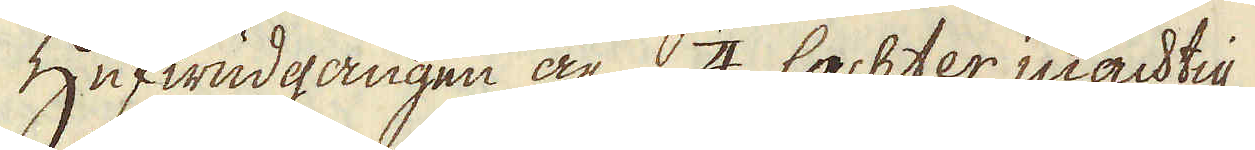Hufwudgången är 1/4. lachter mächtig
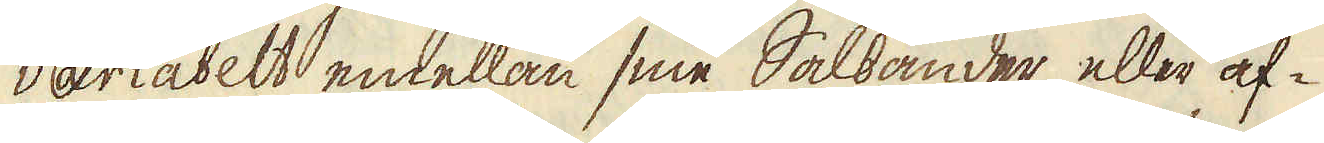variabelt emellan sine Salsänder, eller af-
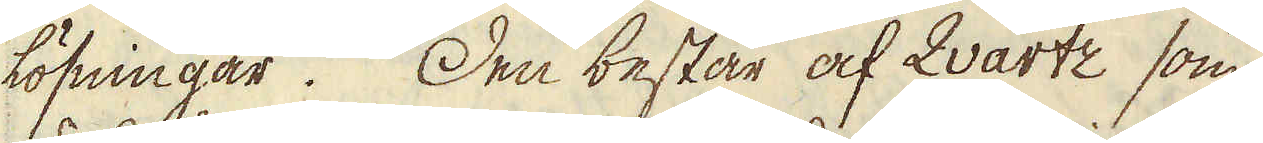lösningar. Den består af qvartz som
